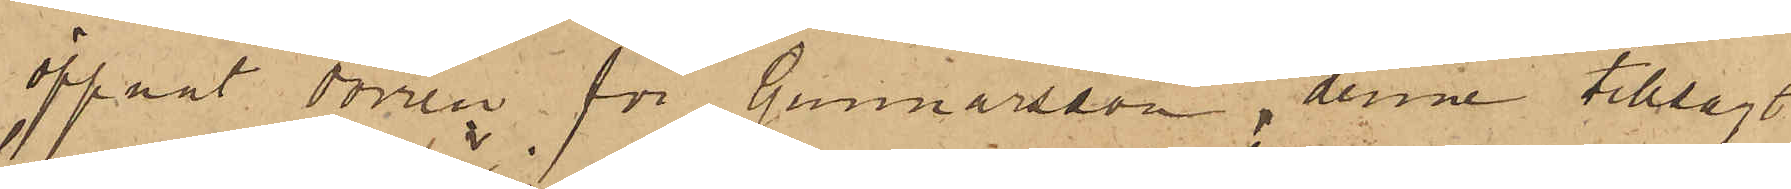öppnat dörren för Gunnarsson, denne tillsagt
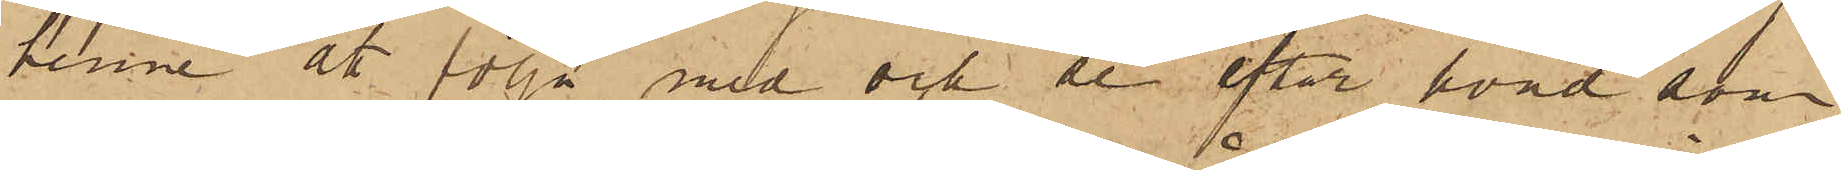henne åt följa med och se efter hvad som
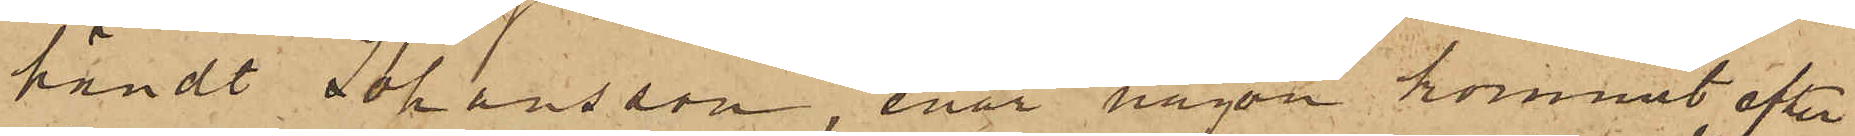händt Johansson, enär någon kommit efter
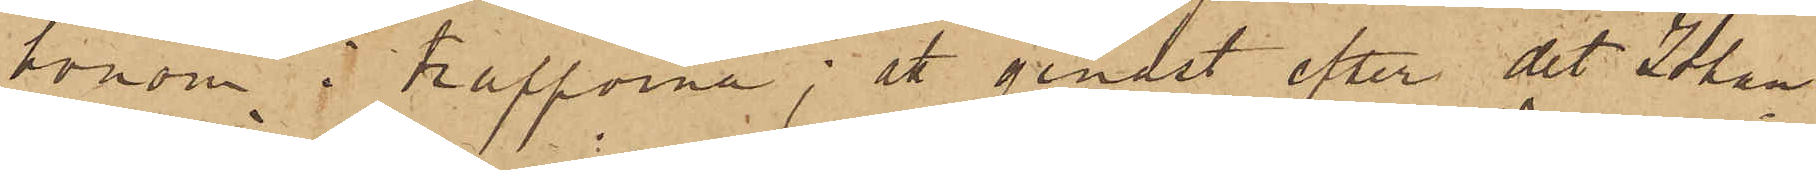honom i trapporna; att genast efter det Johan¬
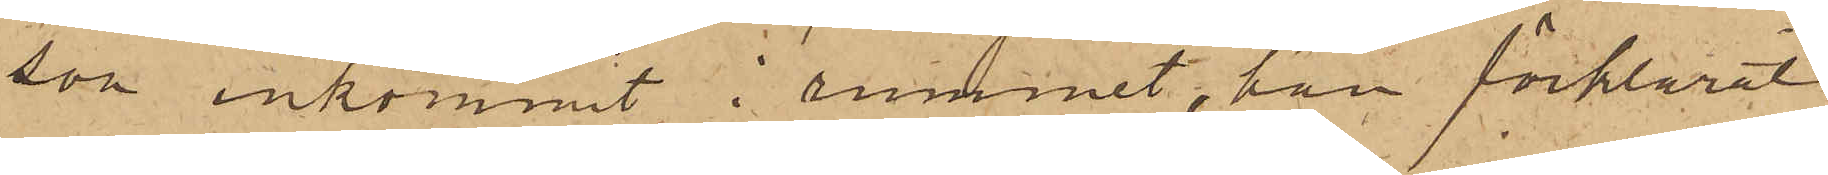son inkommit i rummet, han förklarat
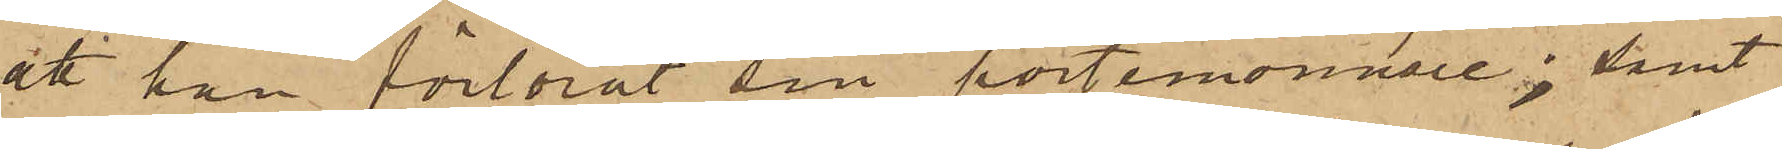att han förlorat sin portemonnaie; samt
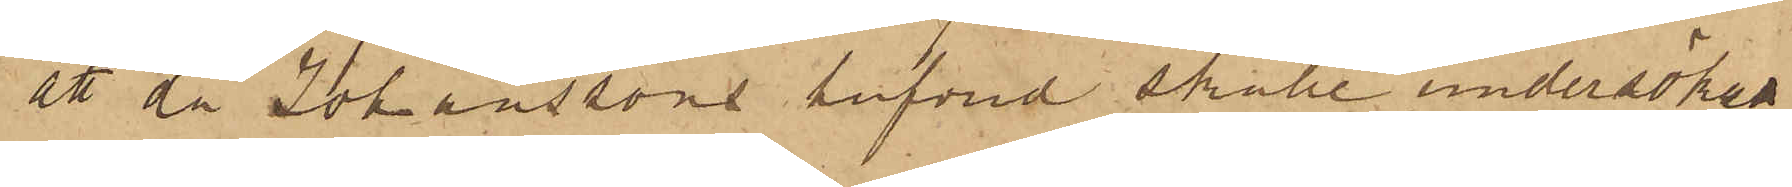att då Johanssons hufvud skulle undersökas
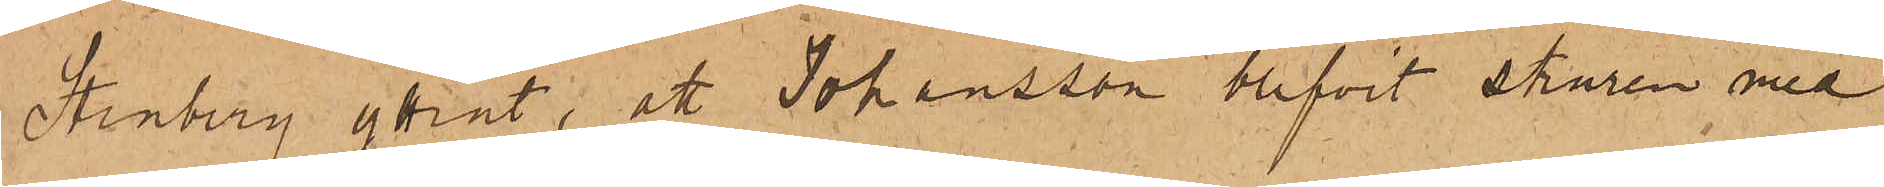Stenberg yttrat; att Johansson blifvit skuren med
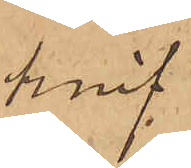knif.
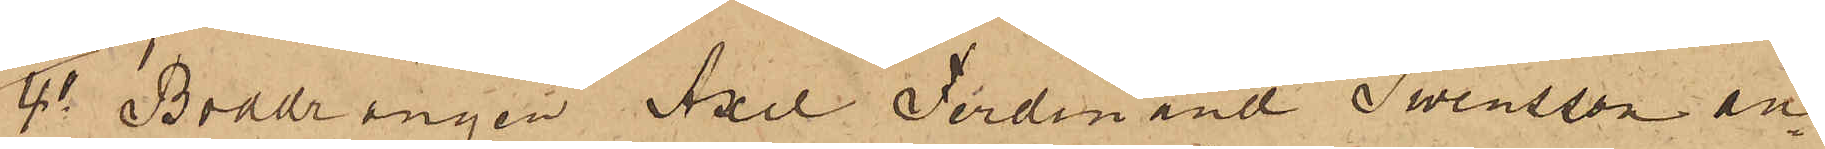4o Boddrängen Axel Ferdinand Swensson an¬
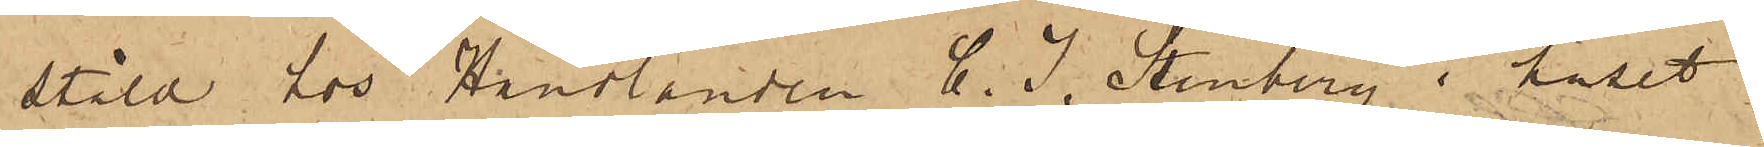stäld hos Handlanden C. J. Stenberg i huset
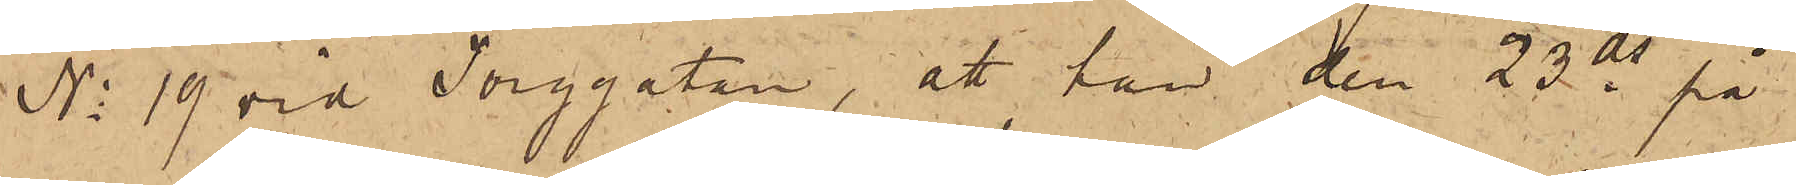No 19 vid Torggatan, att han den 23 ds på
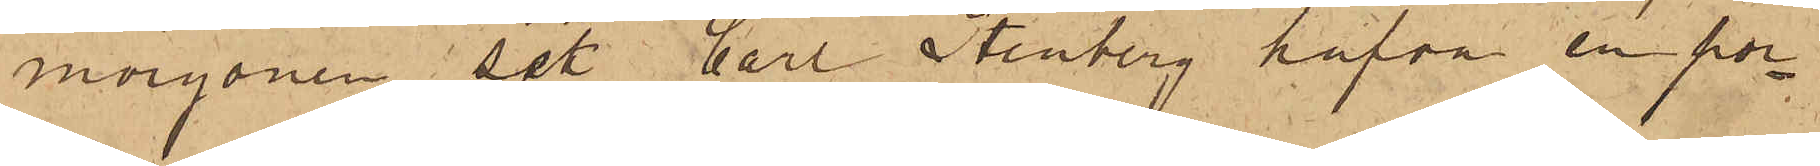morgonen sett Carl Stenberg hafva en por¬
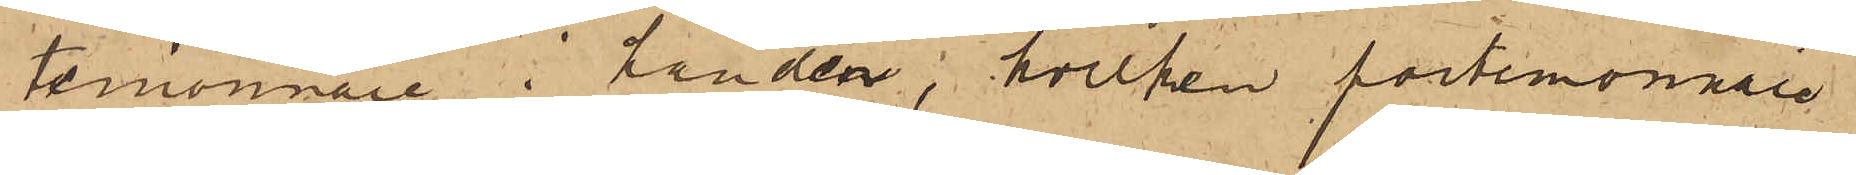temonnaie i handen, hvilken portmonnaie
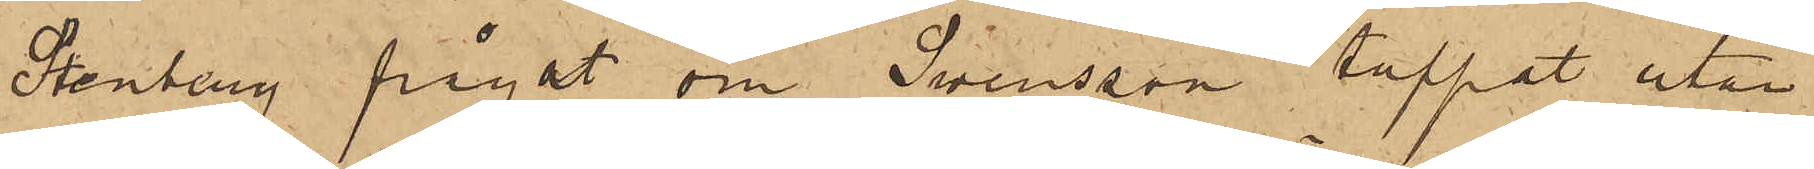Stenberg frågat om Swensson tappat utan
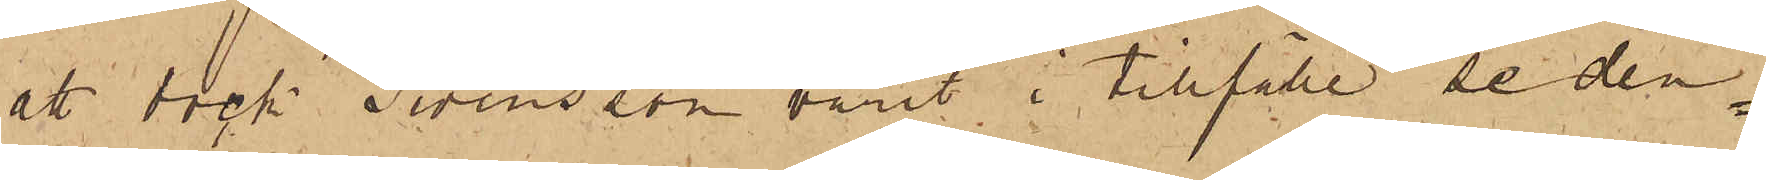att dock Swensson varit i tillfälle se den¬
